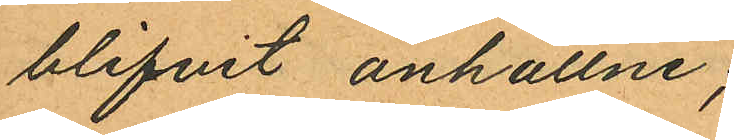blifvit anhållne;
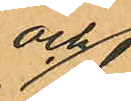och
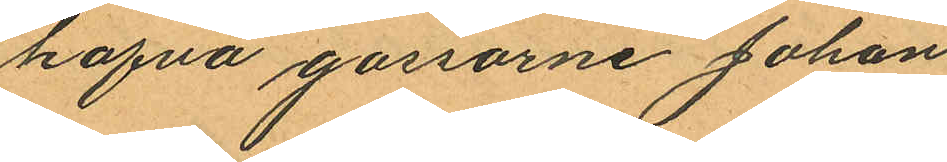hafva gossarne Johan
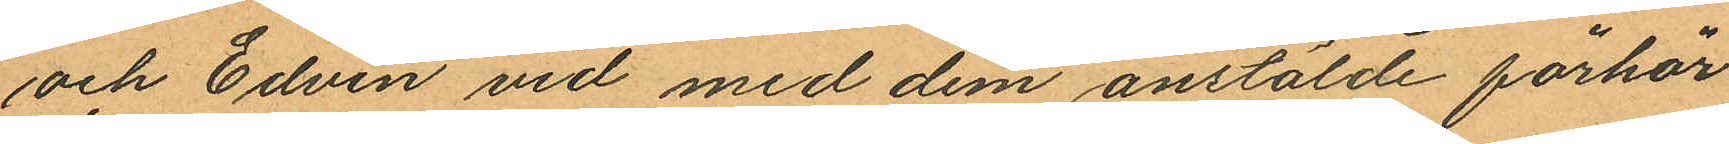och Edvin vid med dem anstälde förhör
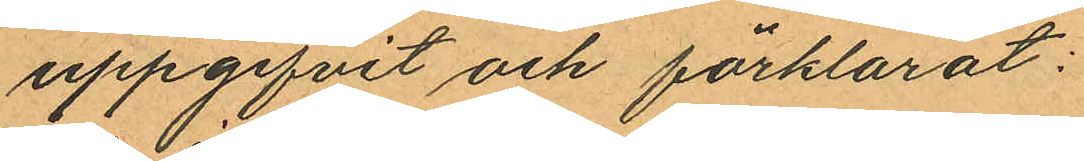uppgifvit och förklarat:
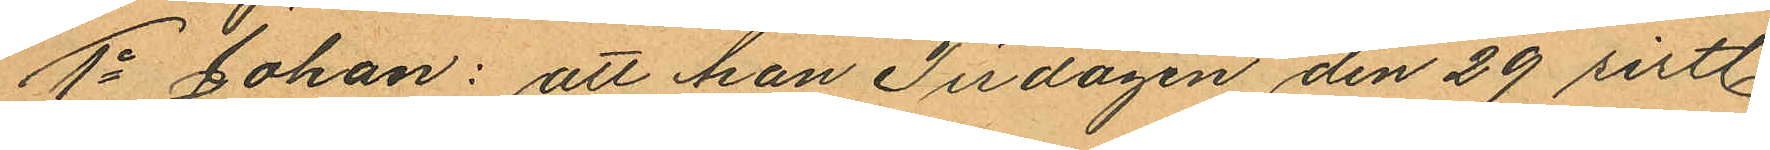1o Johan: att han Tisdagen den 29 sistl.
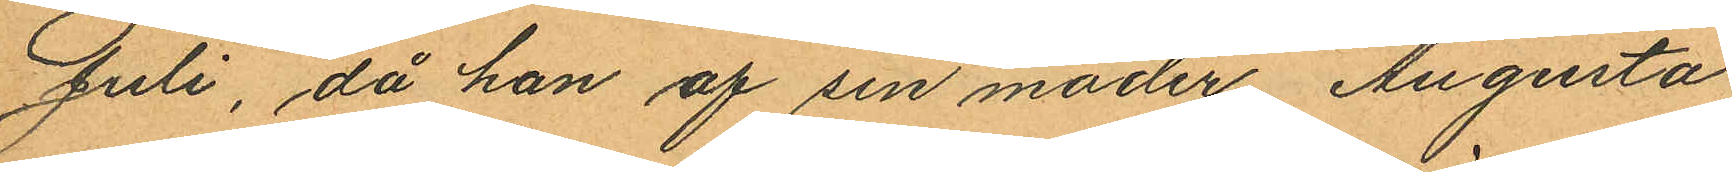Juli, då han af sin moder Augusta
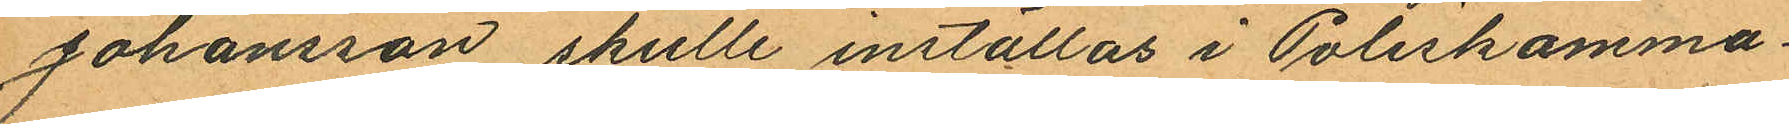Johansson skulle inställas i Poliskamma¬
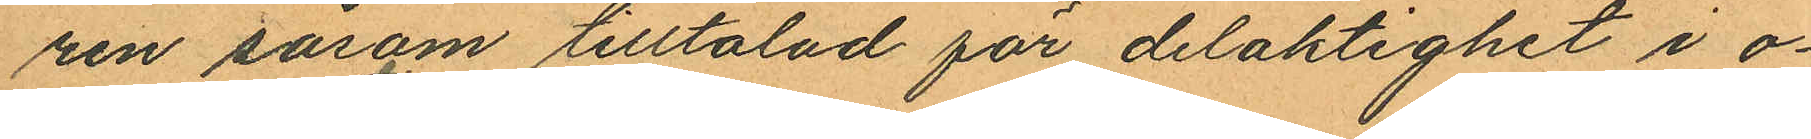ren såsom tilltalad för delaktighet i o¬
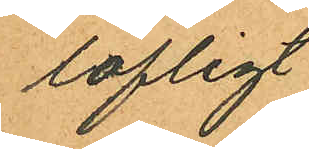lofligt
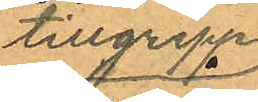tillgrepp
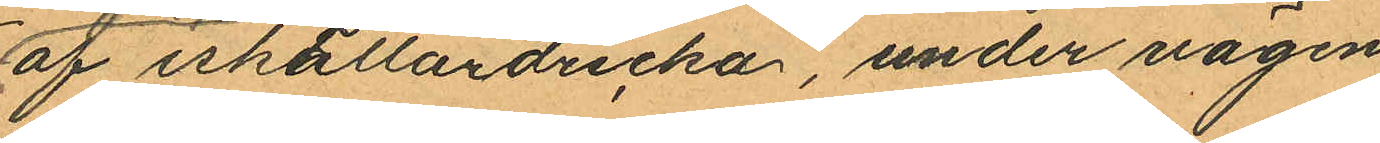af iskällardricka, under vägen
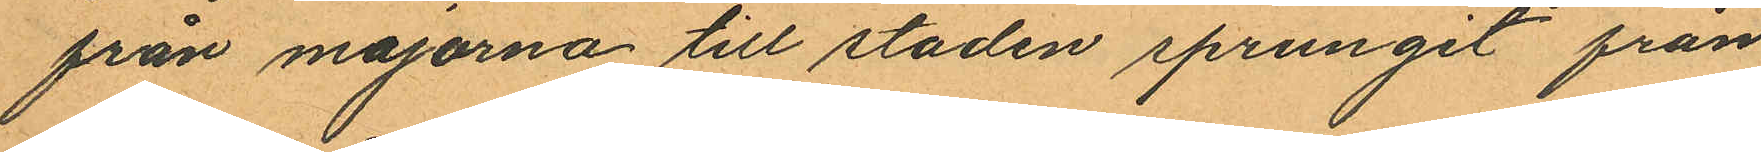från majorna till staden sprungit från
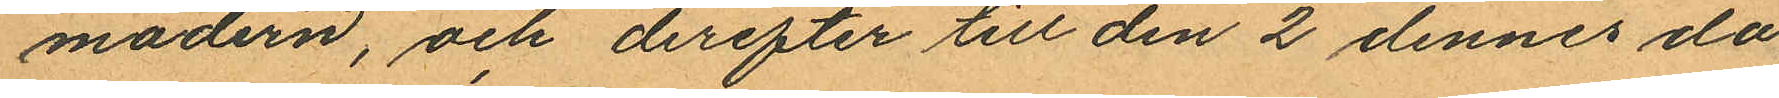modern, och derefter till den 2 dennes då
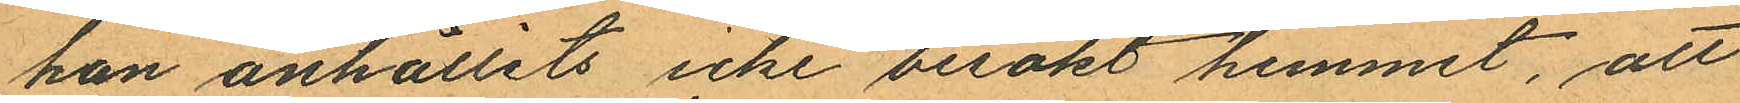han anhållits icke besökt hemmet, att
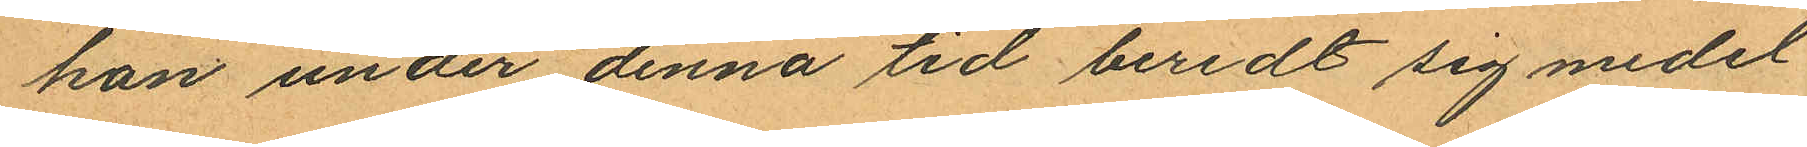han under denna tid beredt sig medel
